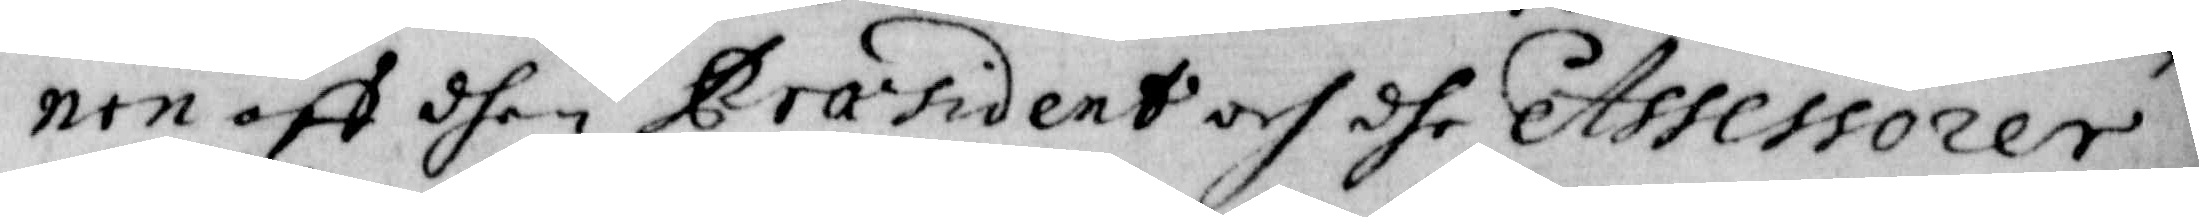nen aff dhen Praesident och dhe Assessorer
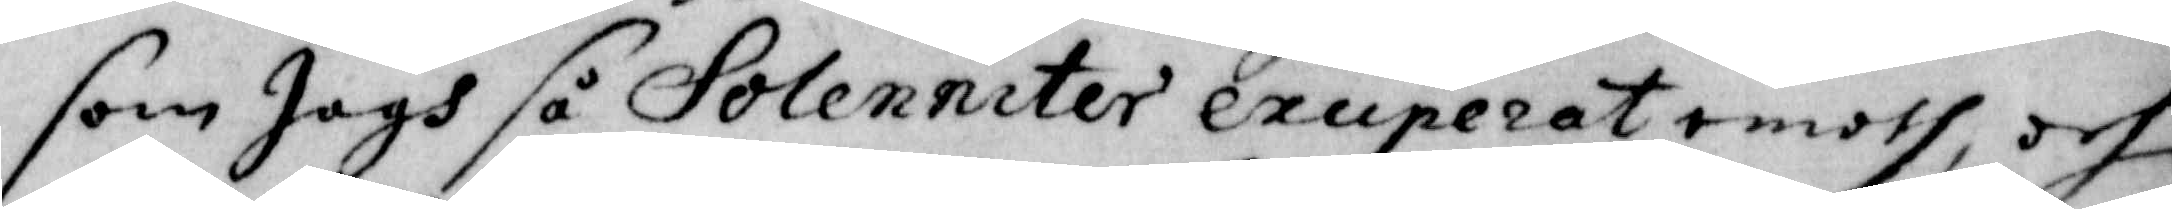som Jagh så Solenniter exciperat emoth, och
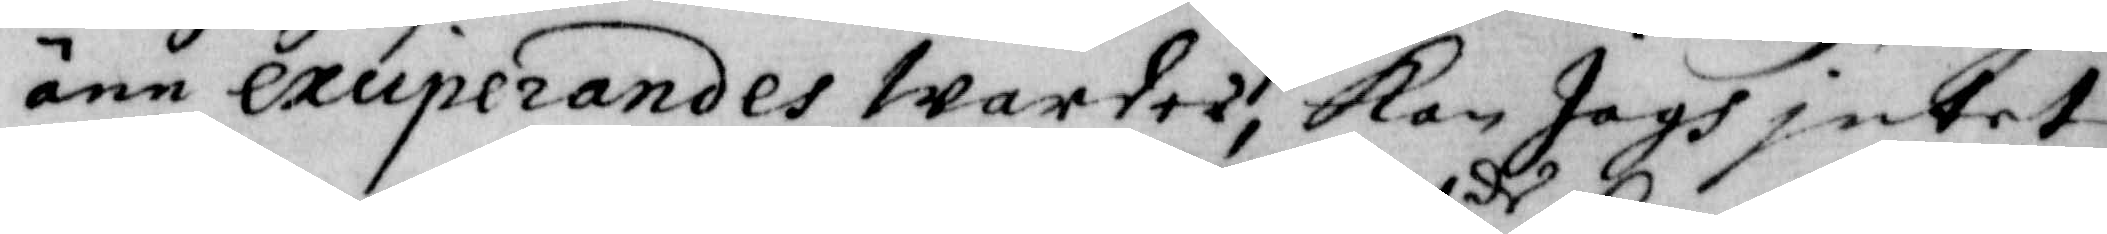änn exciperandes Warder, Kan Jagh jntet
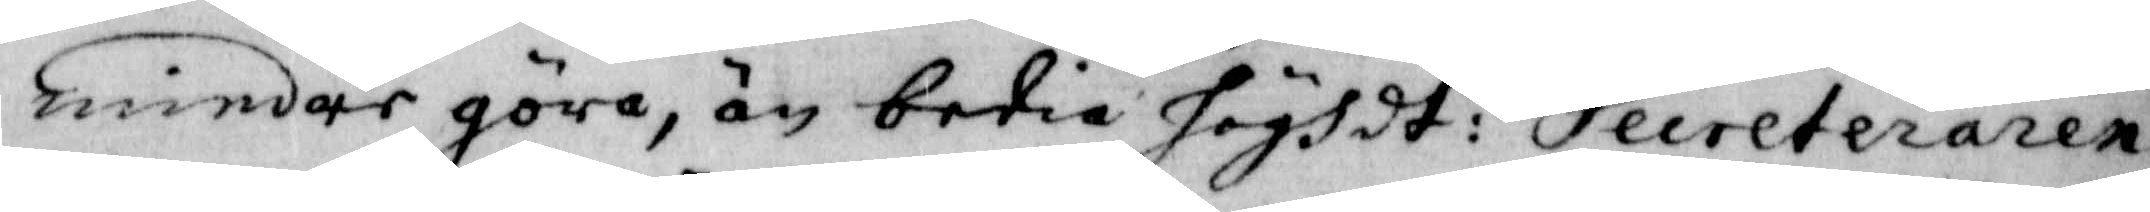mindre göra, än bedia höghdt:de Secreteraren
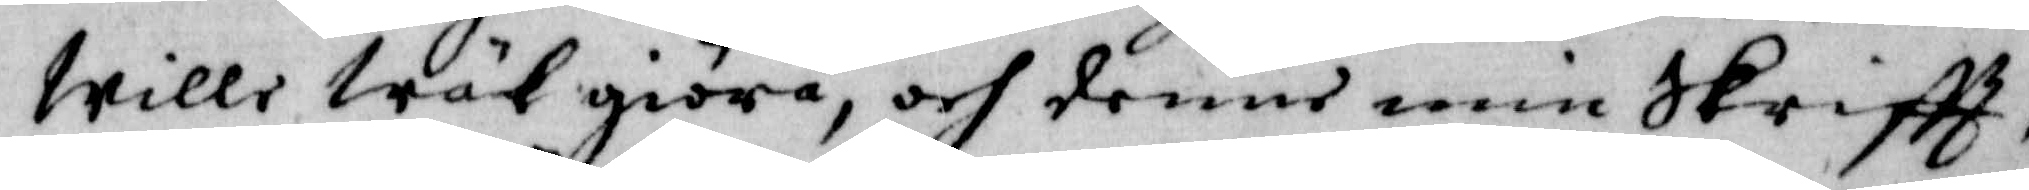Wille Wäl giöra, och denne min Skrifft,
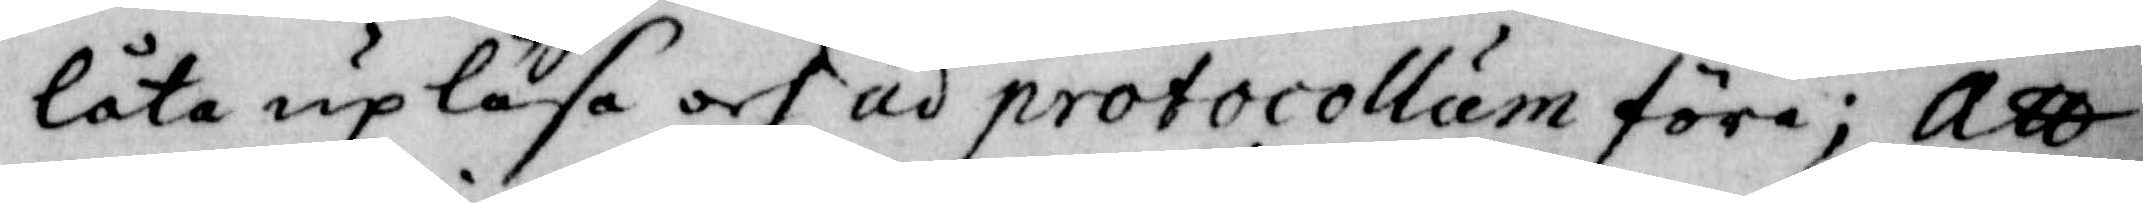Låta up Läsa och ad protocollum föra; Att
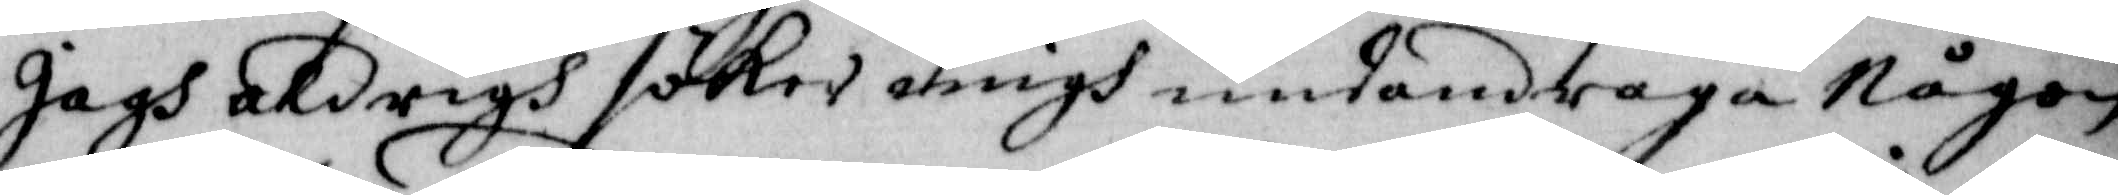Jagh aldrigh söker migh undandraga Någon
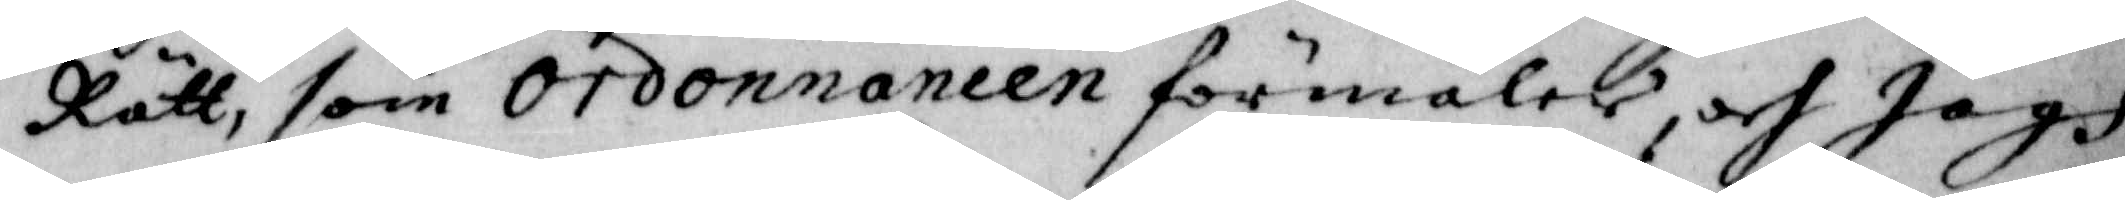Rätt, som Ordonnancen förmäler, och Jagh
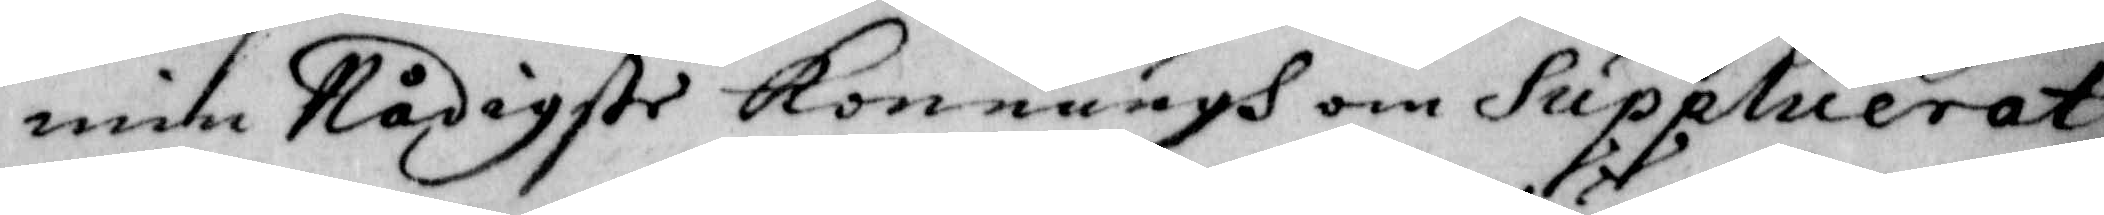min Nådigste Konungh om Supplicerat
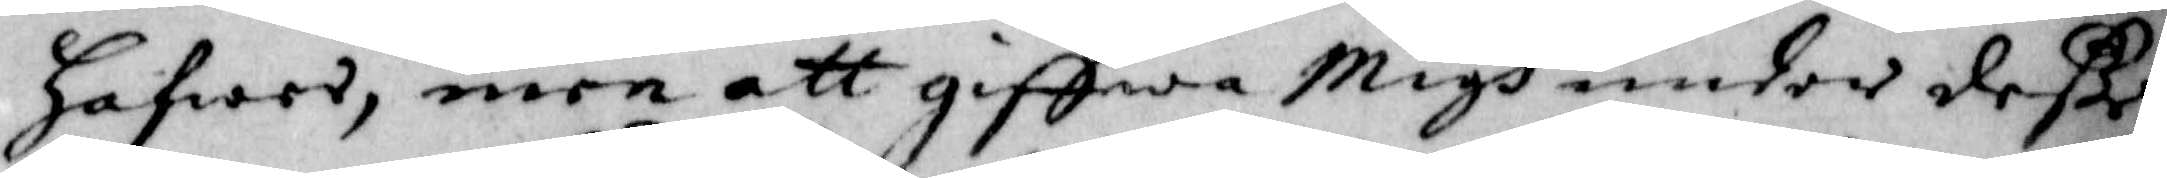hafwer, men att giffwa Migh under deße
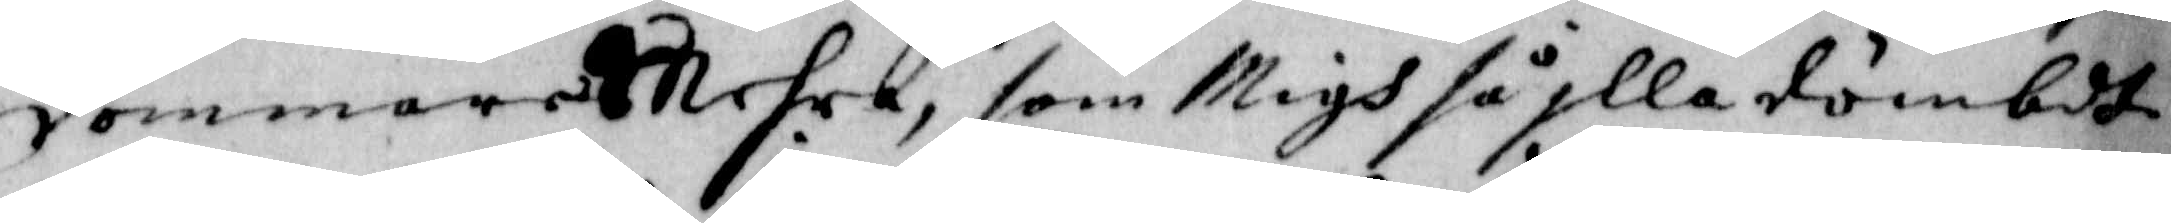dommares Mehra, som Migh så jlla dömbdt
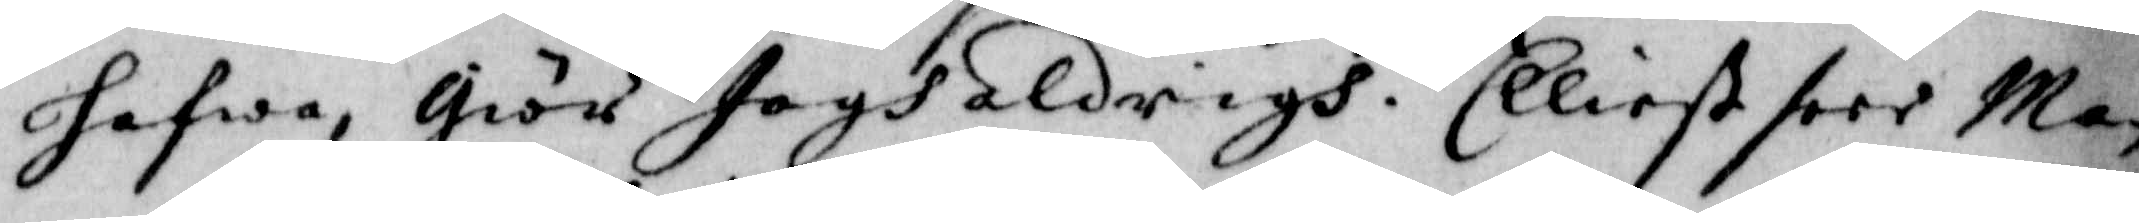hafwa, Giör Jagh aldrigh. Elliest seer Man
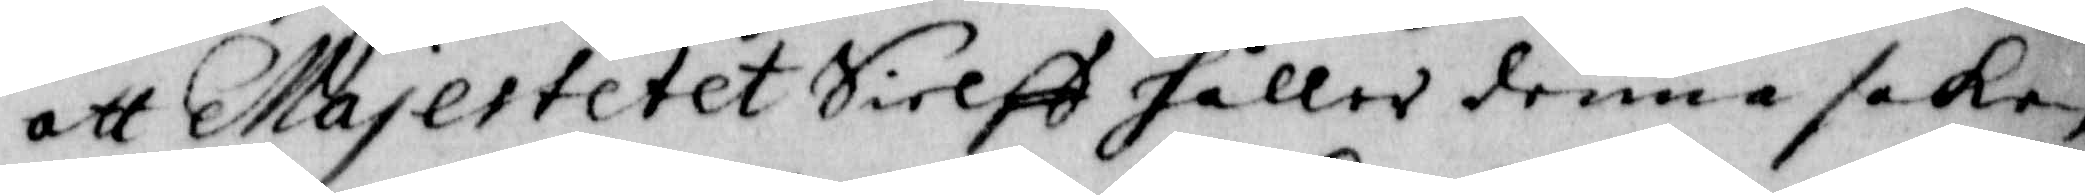att Majestetet Sielff håller denna saken
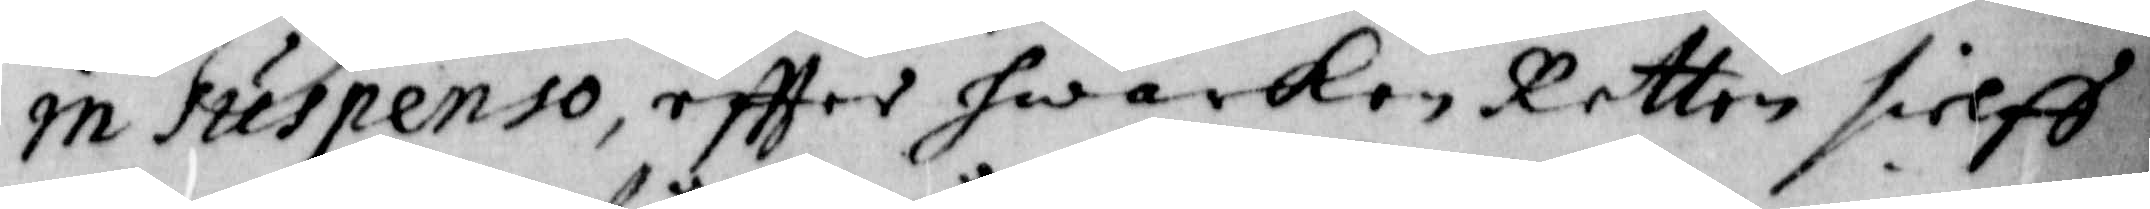in Suspenso, effter hwarken Retten sielff
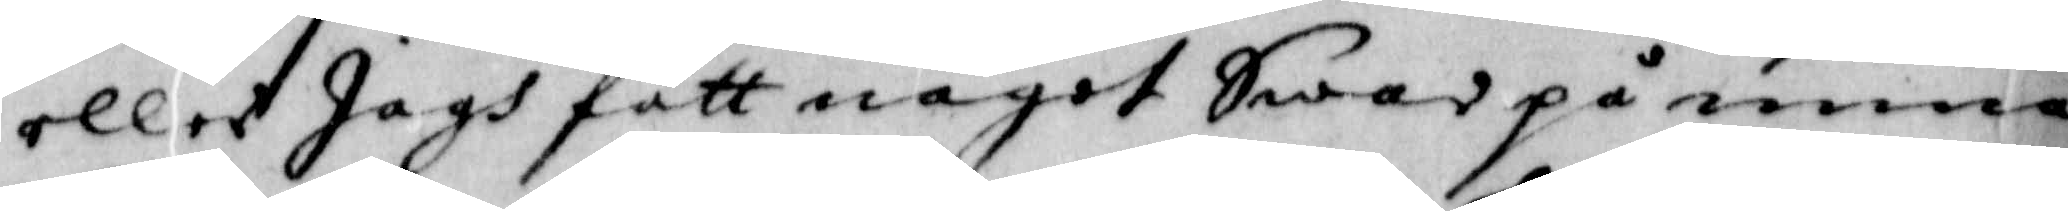eller Jagh fått något Swar på mina
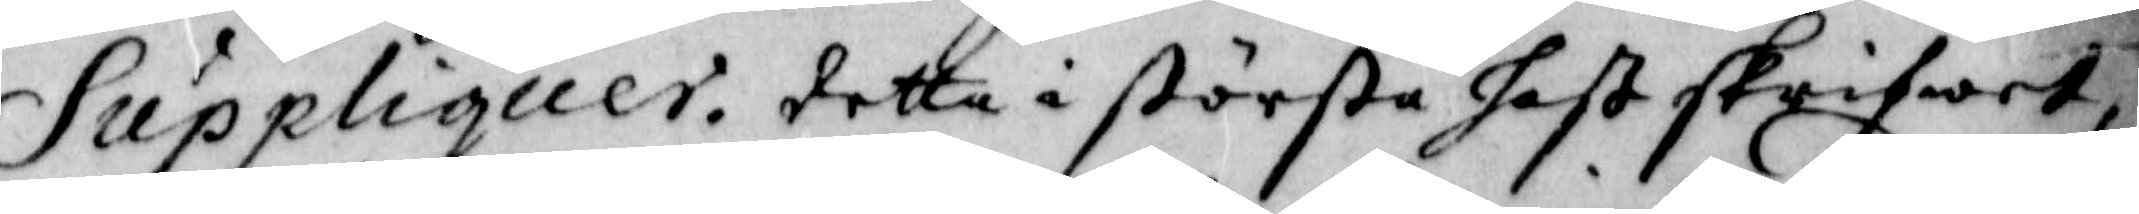Suppliquer. detta i största hast skrifwet,
